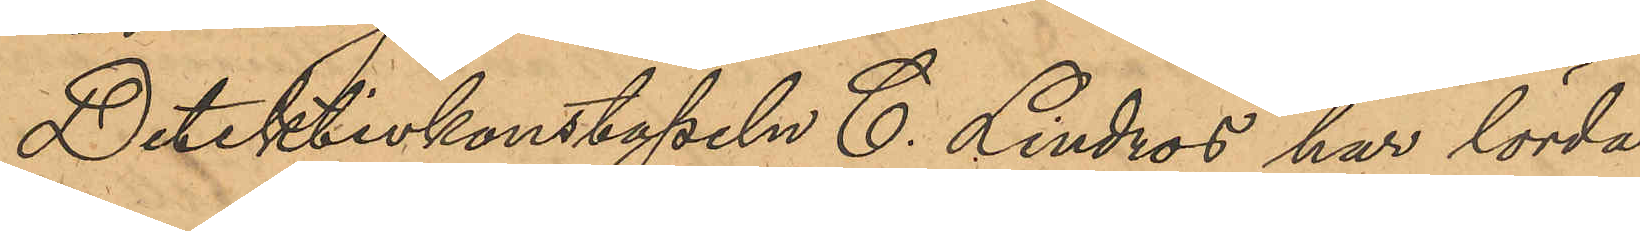Detektivkonstapeln C. Lindros har lörda¬
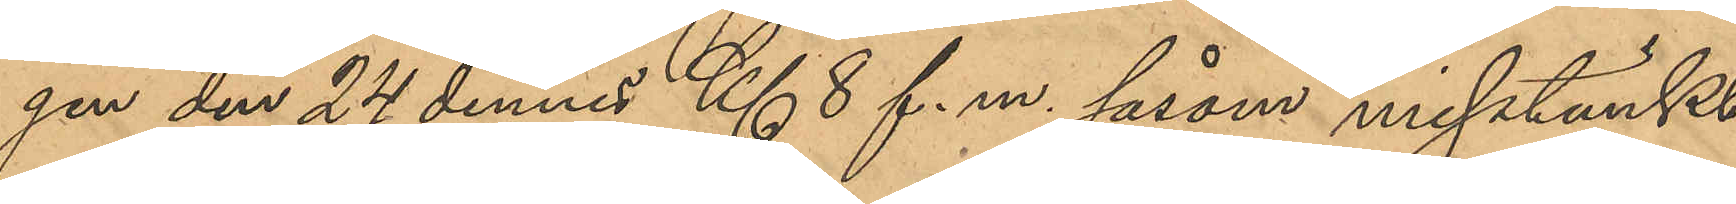gen den 24 dennes Kl 8 f. m. såsom misstänkt
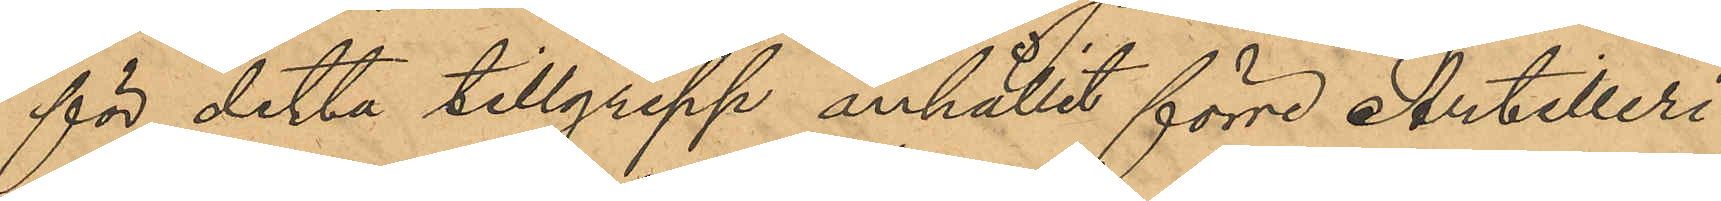för detta tillgrepp anhållit förre Artilleri¬
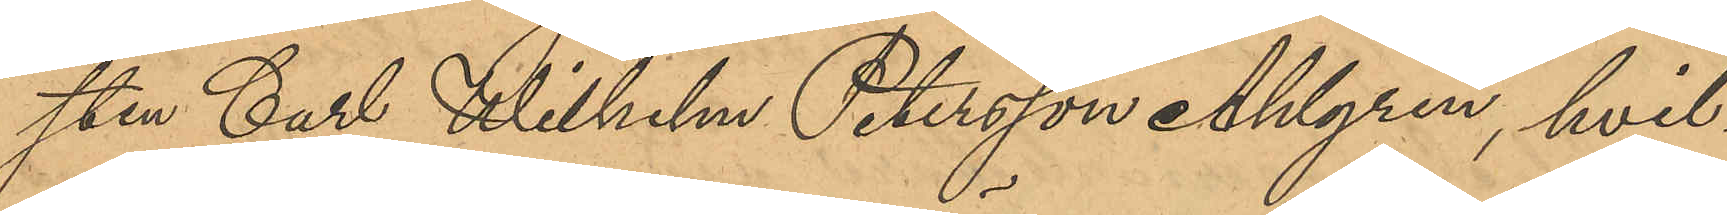sten Carl Wilhelm Petersson Ahlgren, hvil¬
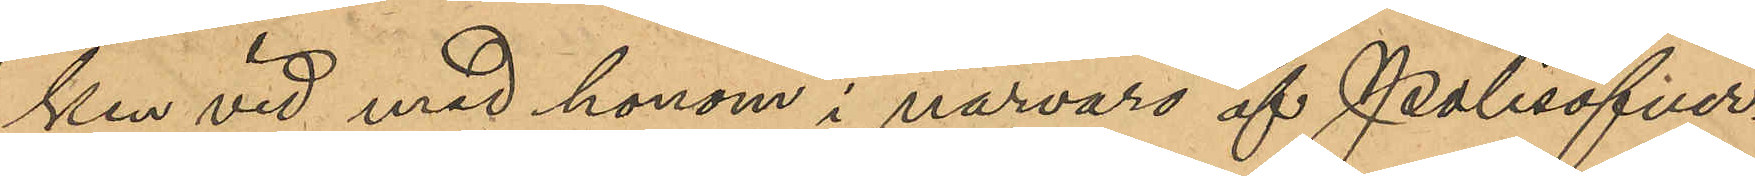ken vid med honom i närvaro af Polisöfver¬
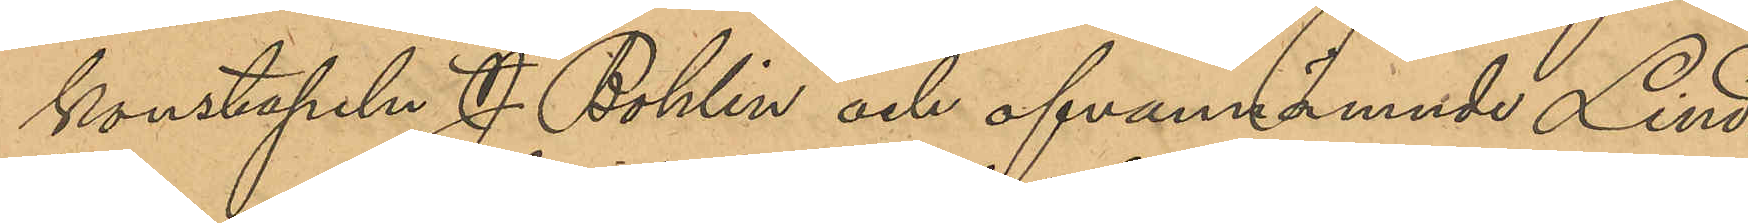konstapeln J. Bohlin och ofvannämnde Lind¬
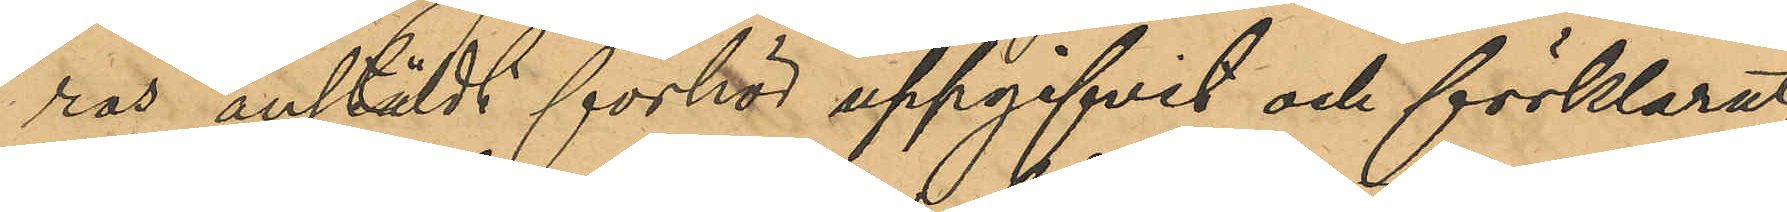ros anstäldt förhör uppgifvit och förklarat,
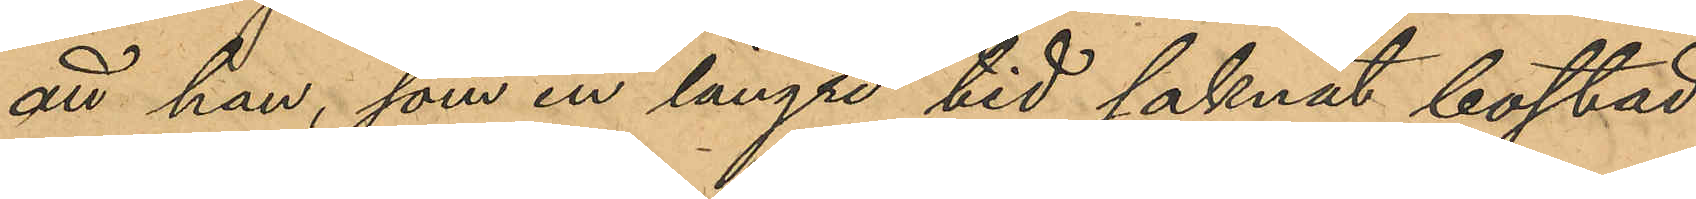att han, som en längre tid saknat bostad
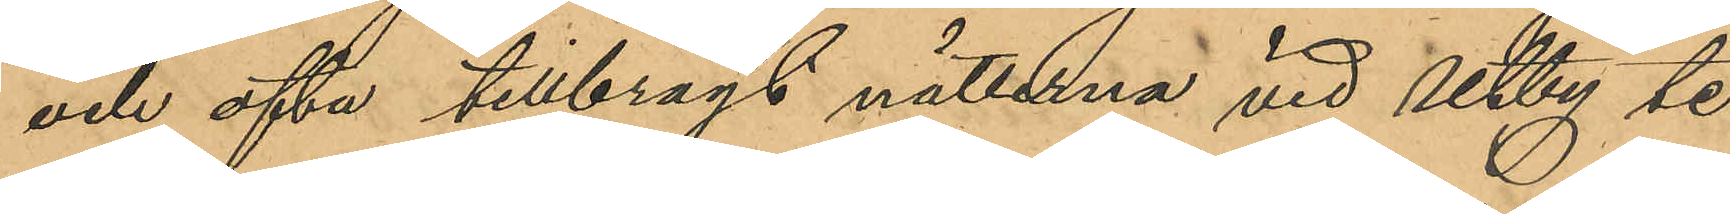och ofta tillbragt nätterna vid Utby te¬
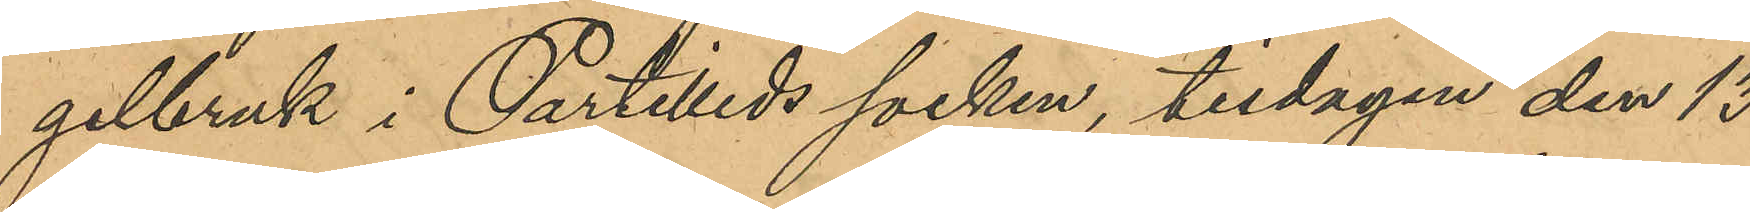gelbruk i Partilleds socken, tisdagen den 13
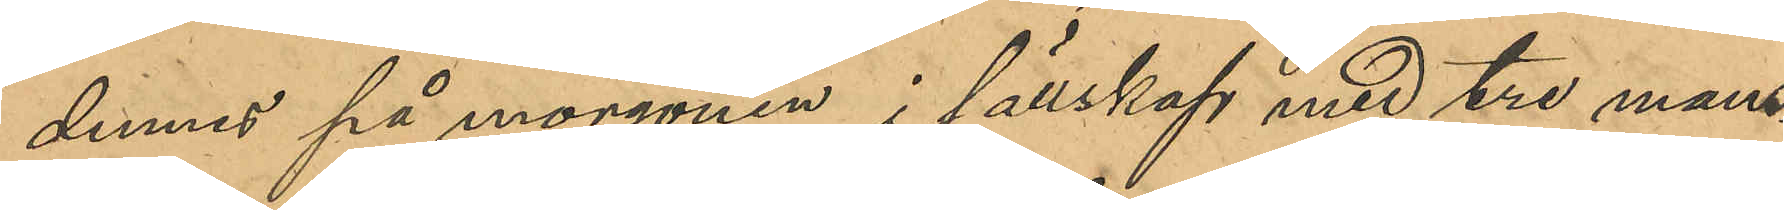dennes på morgonen, i sällskap med tre mans¬
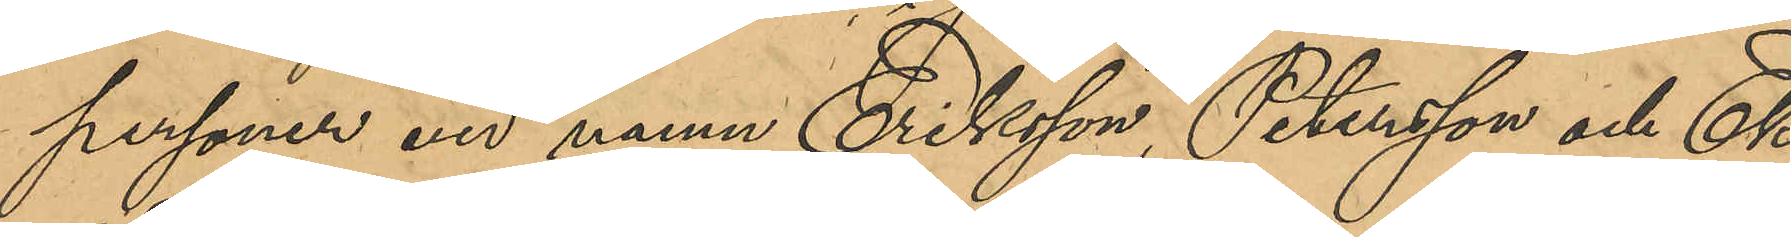personer vid namn Eriksson, Petersson och Ek¬
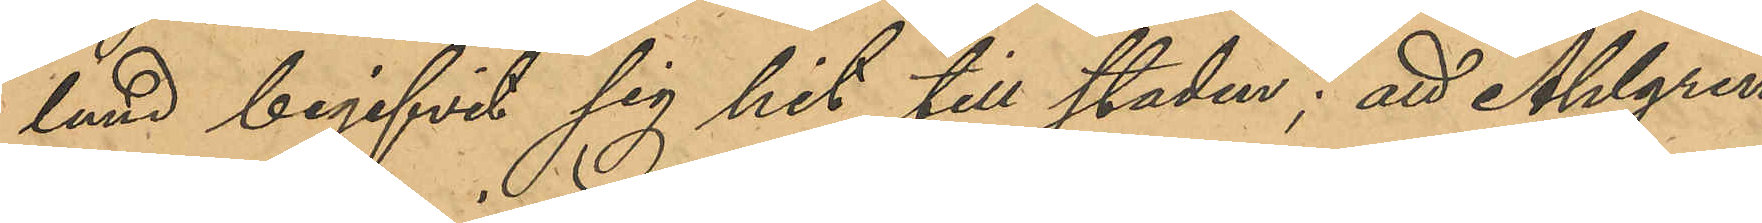lund begifvit sig hit till staden; att Ahlgren
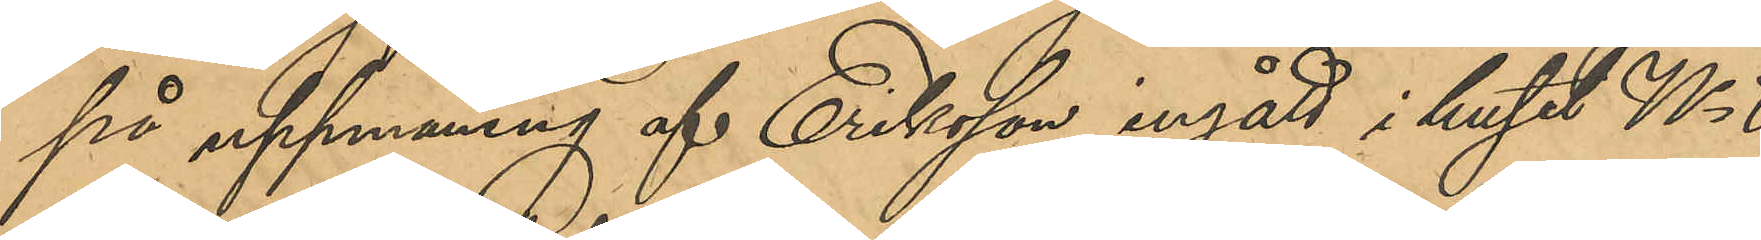på uppmaning af Eriksson ingått i huset No 8
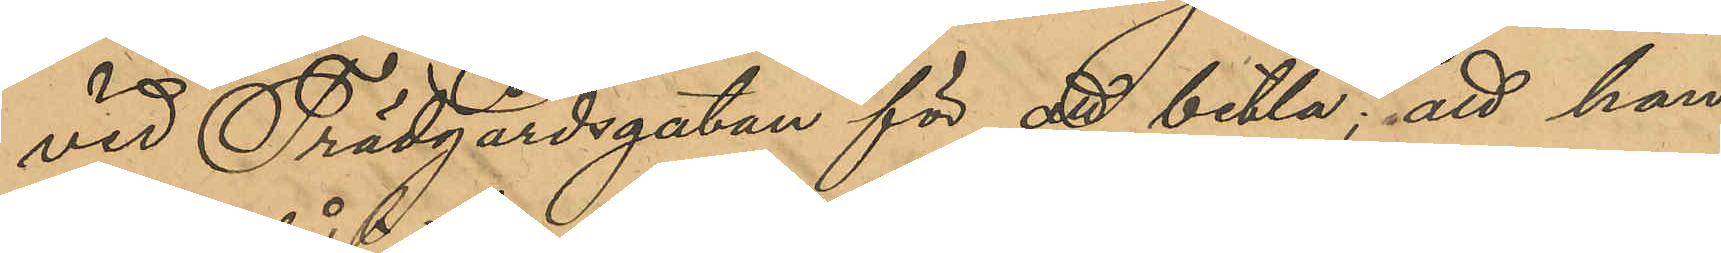vid Trädgårdsgatan för att betla; att han
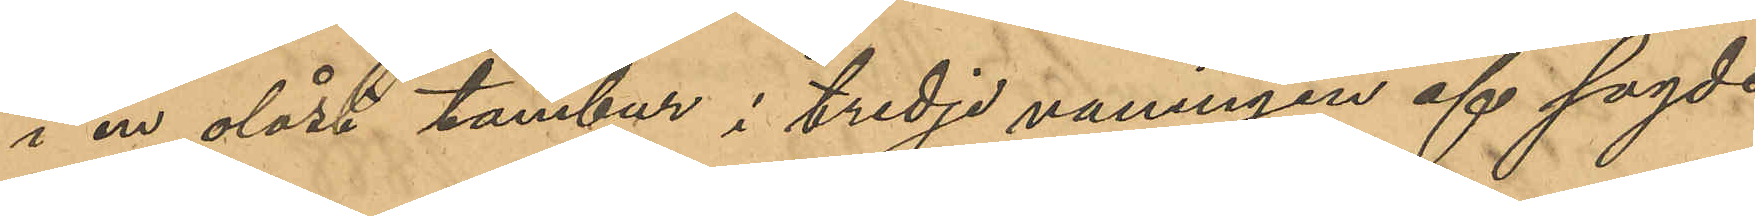i en olåst tambur i tredje vaningen af sagde
